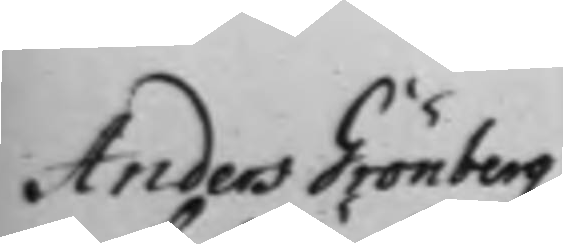Anders Grönbergz
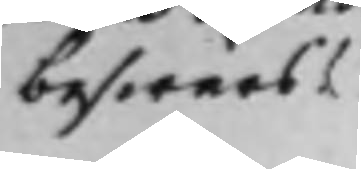beswärs
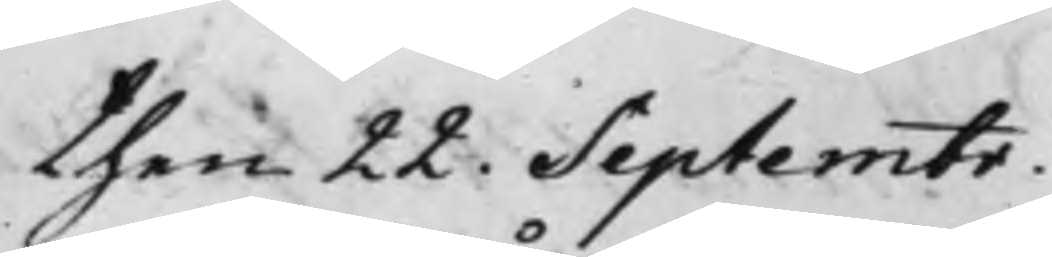then 22. Septembr.
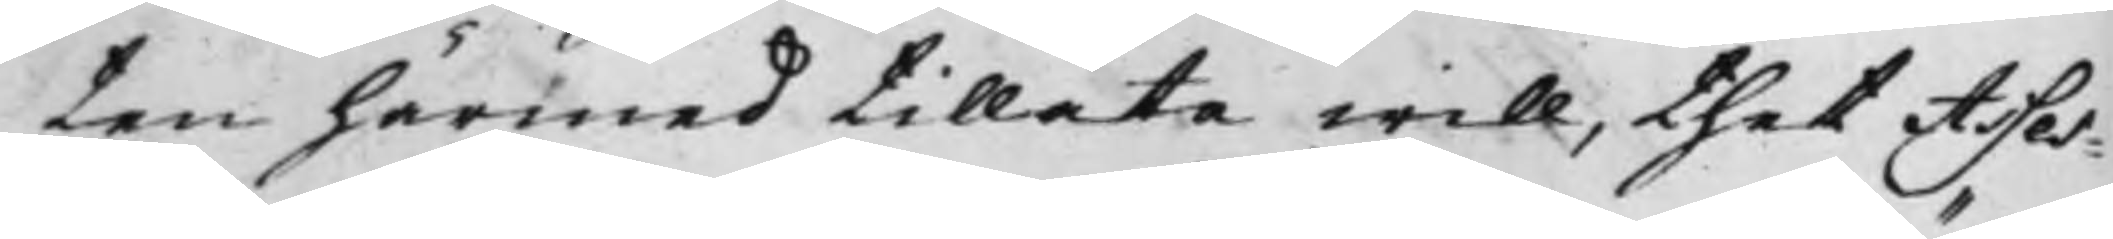ten härmed tillåta will, thet Asses¬
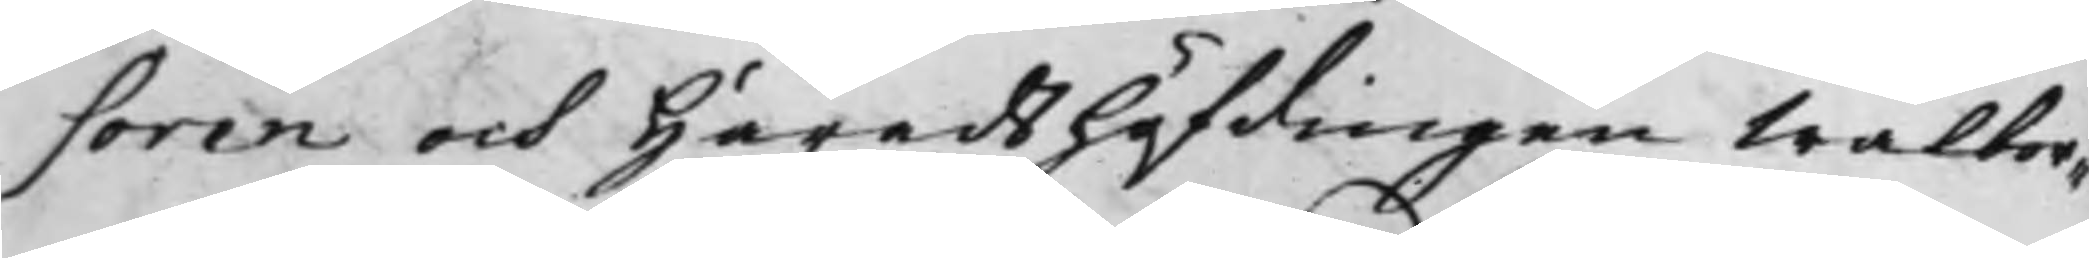soren och Häradshöfdingen Wälbor¬
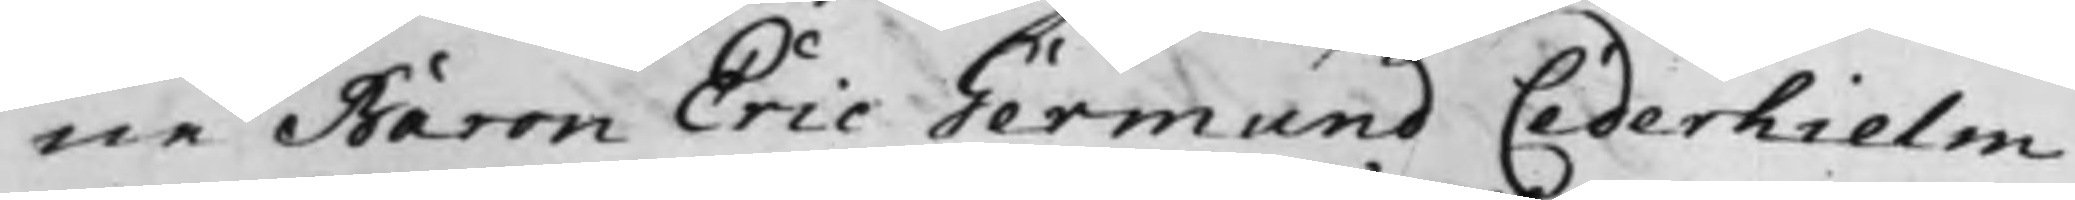ne Baron Eric Germund Cederhielm
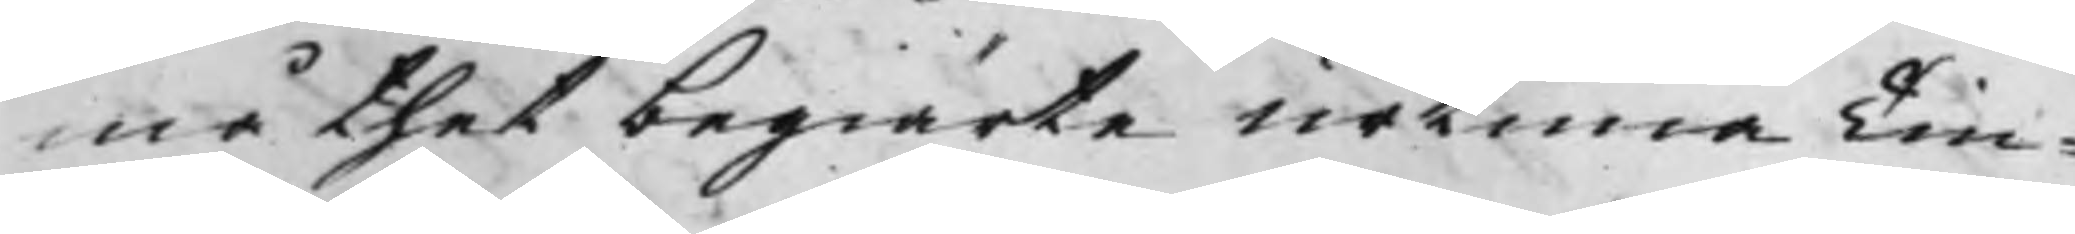må thet begiärte urtimaTin¬
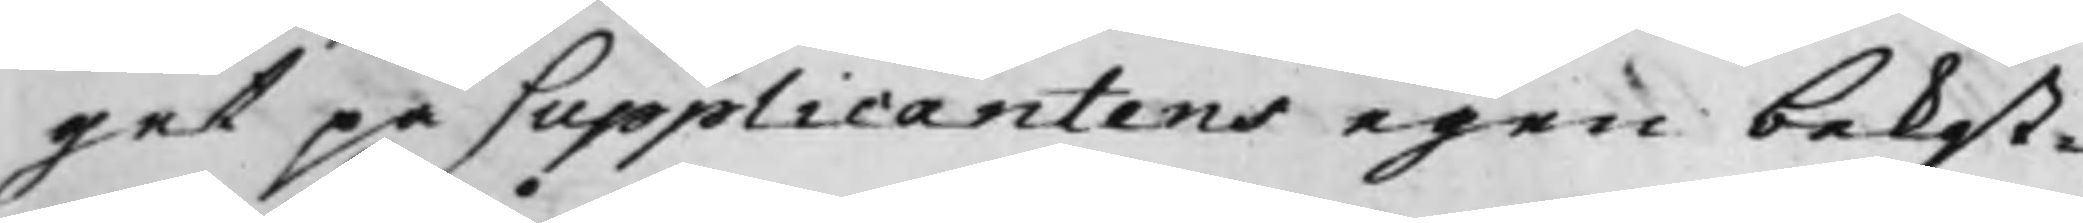get på Supplicantens egen bekost¬
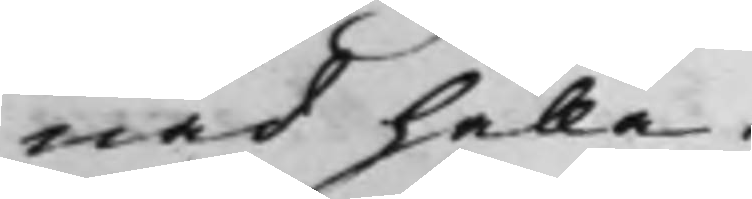nad hålla.
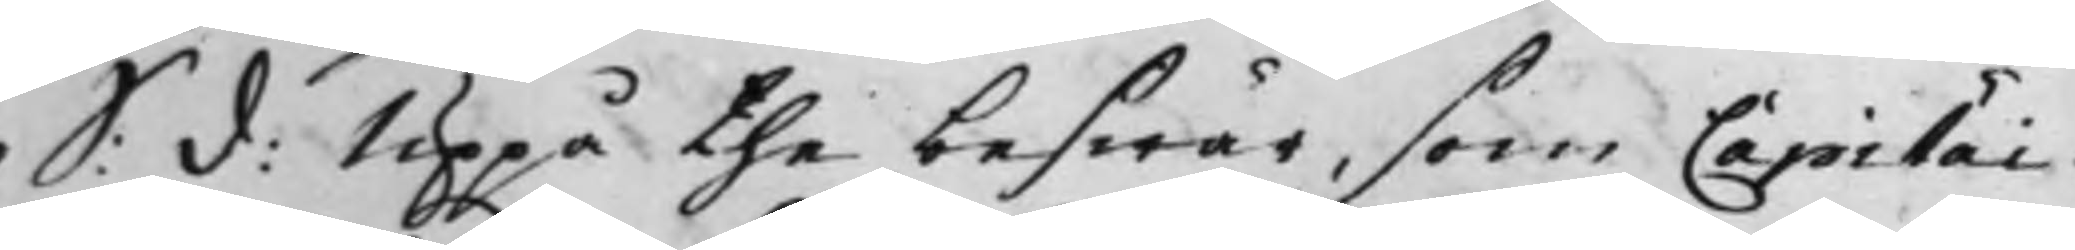S: d: Uppå the beswär, som Capitai¬
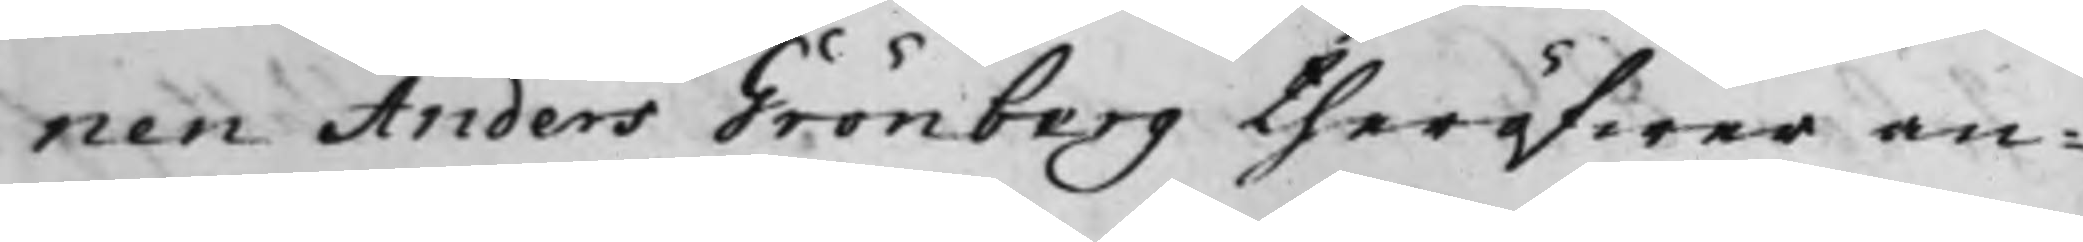nen Anders Grönberg theröfwer an¬
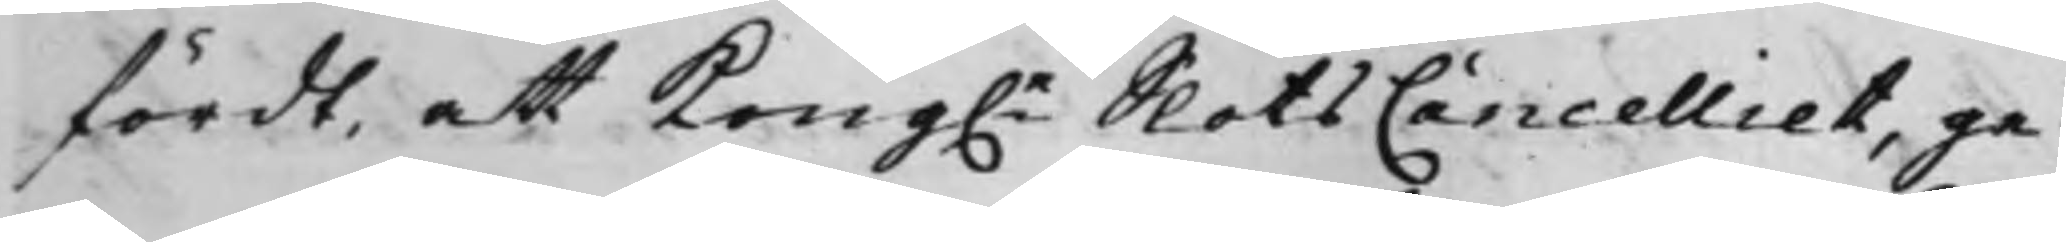fördt, att Kong.e SlotsCancelliet, ge¬
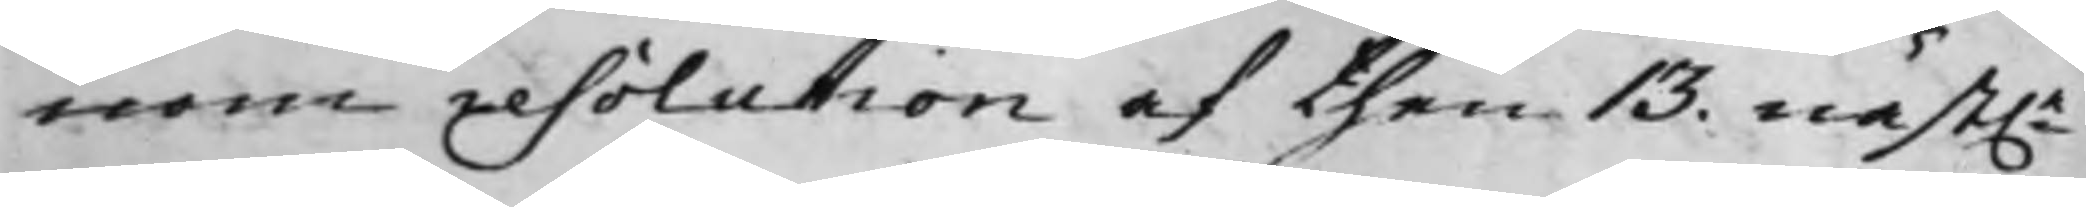nom resolution af then 13. näst.e
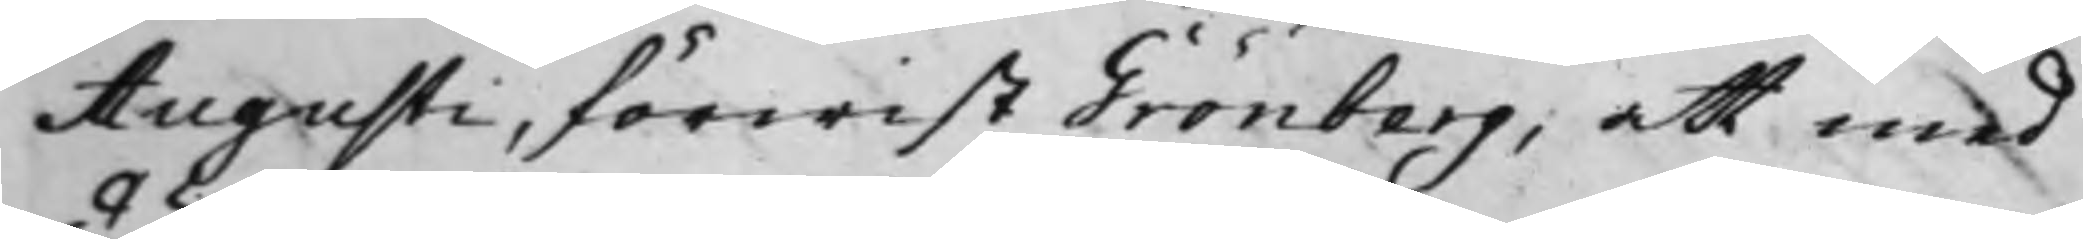Augusti, förwist Grönberg, att med
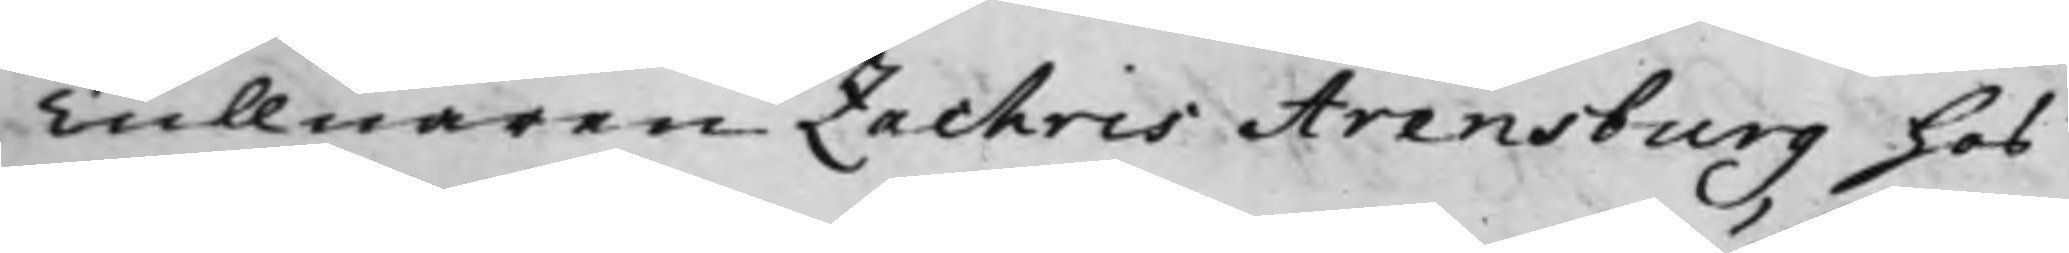Tullnären Zachris Arensburg hos
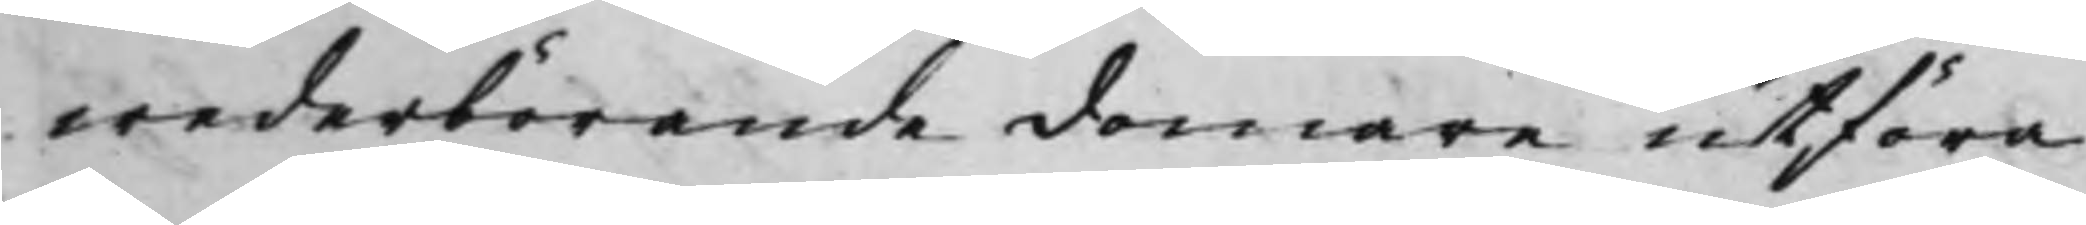wederbörande domare utföra
